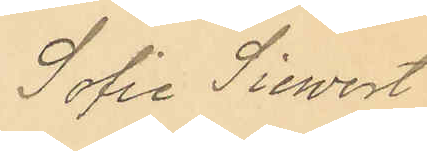Sofie Siewert
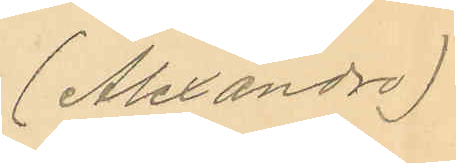(Alexandro)
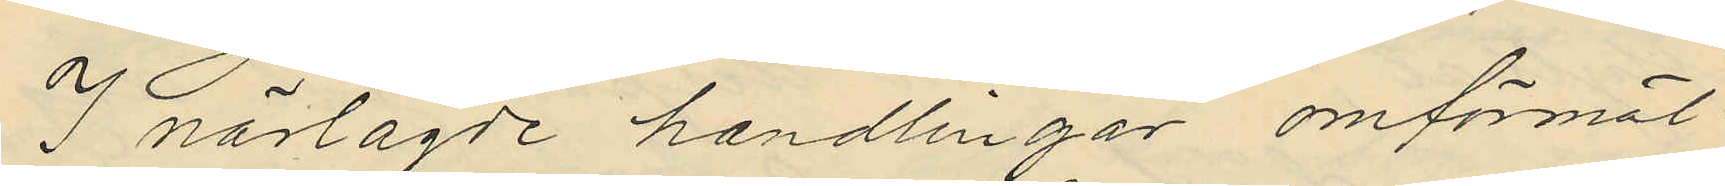I närlagde handlingar omförmäl
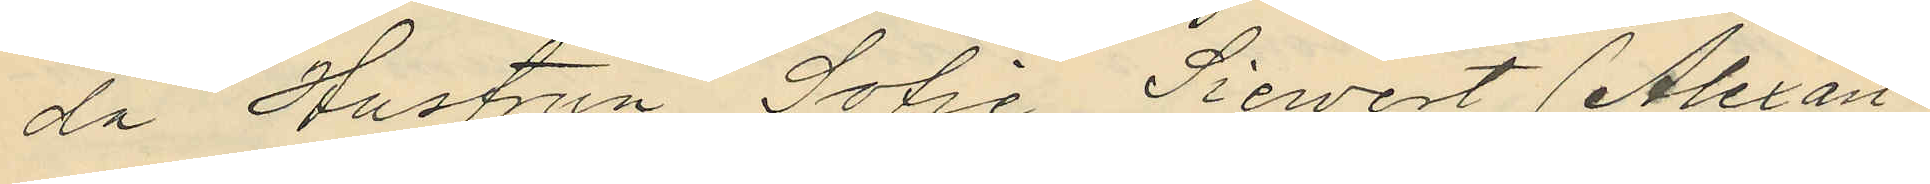da Hustrun Sofia Sievert (Alexan¬
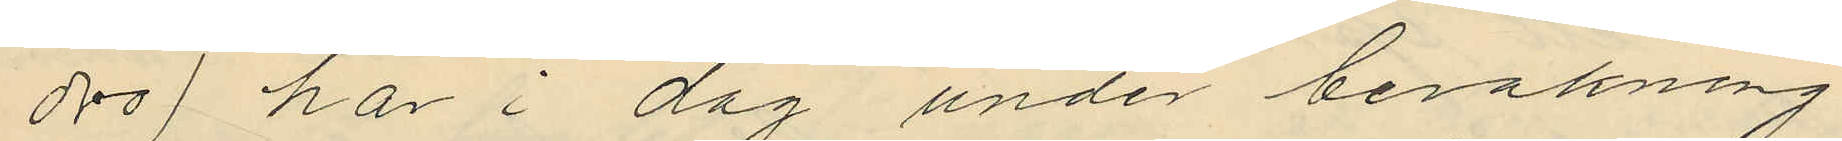dro) har i dag under bevakning
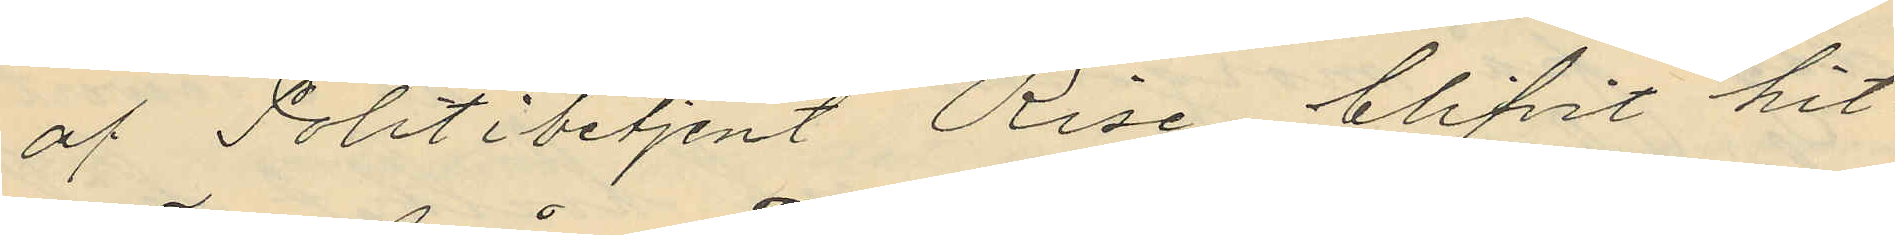af Politibetjent Rise blifvit hit
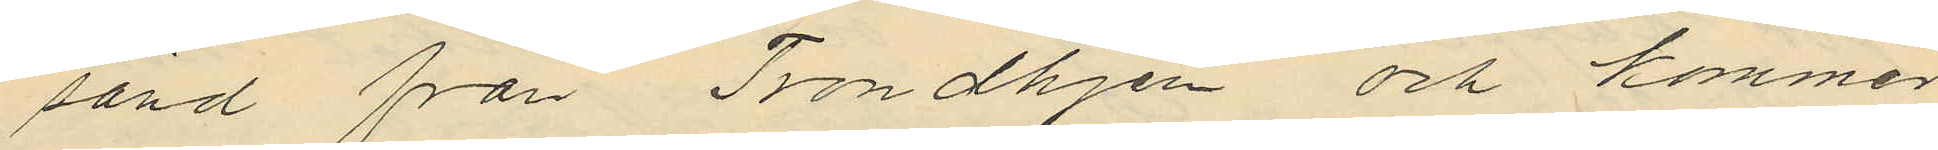sänd från Trondhjem och kommer
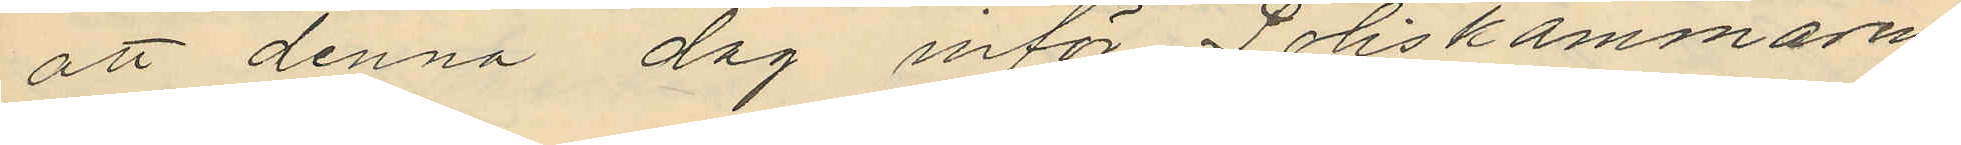att denna dag inför Poliskammaren
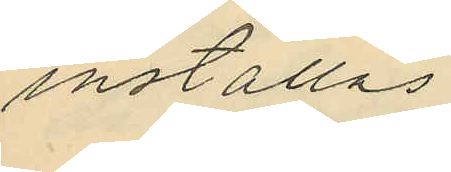inställas.
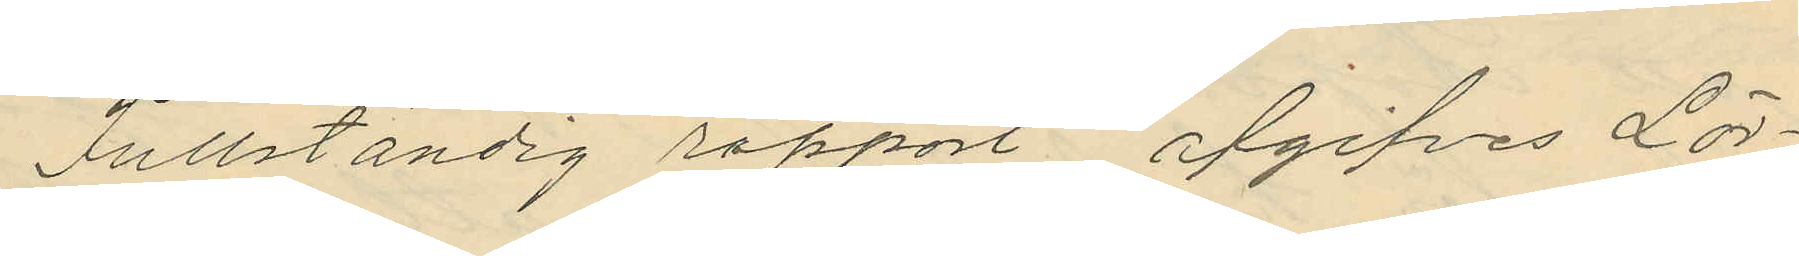Fullständig rapport afgifves Lör¬
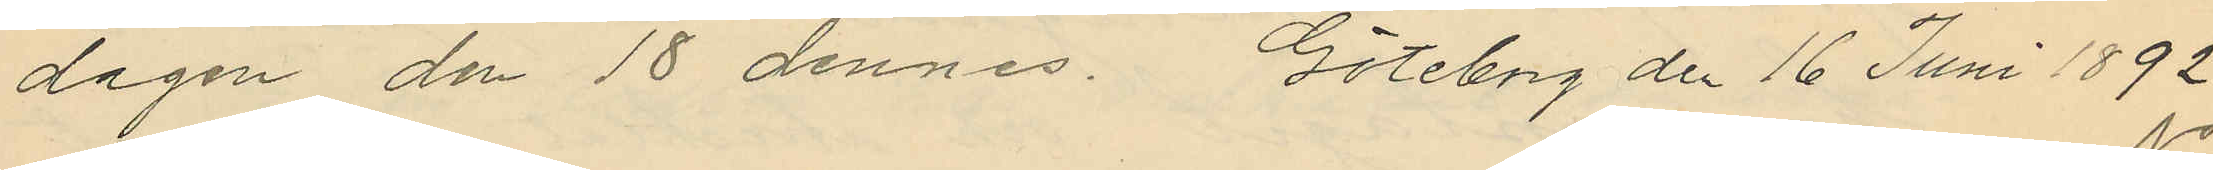dagen den 18 dennes. Göteborg den 16 Juni 1892
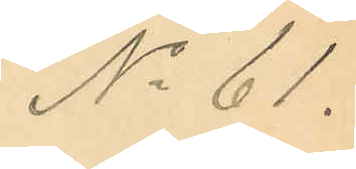No 61.
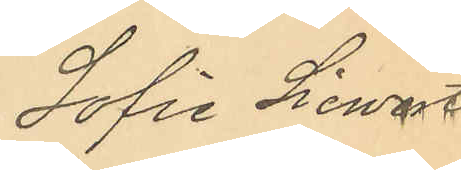Sofie Siewert
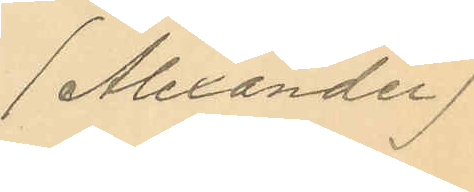(Alexander)
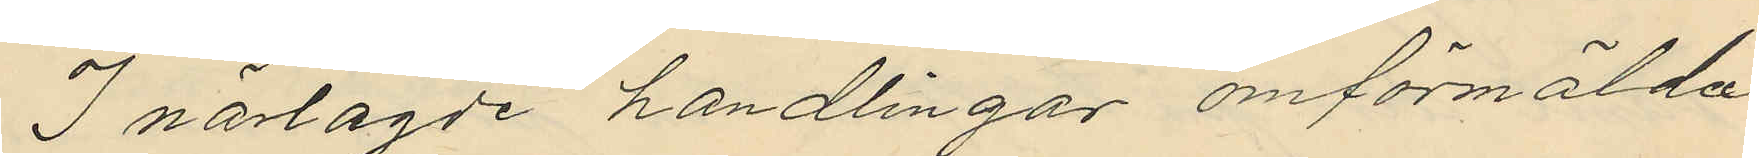I närlagde handlingar omförmälda
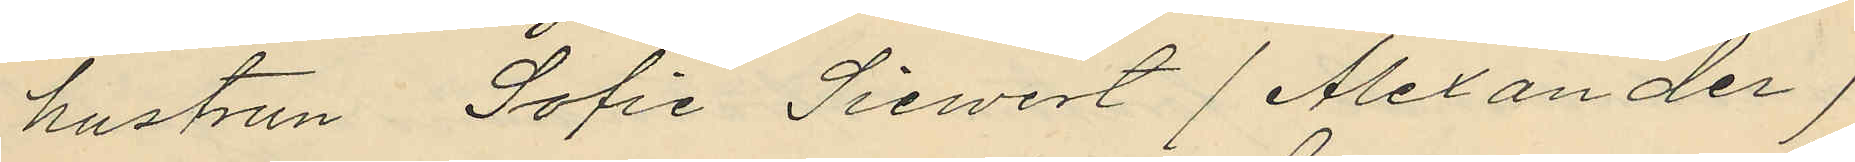hustrun Sofia Siewert (Alexander)
